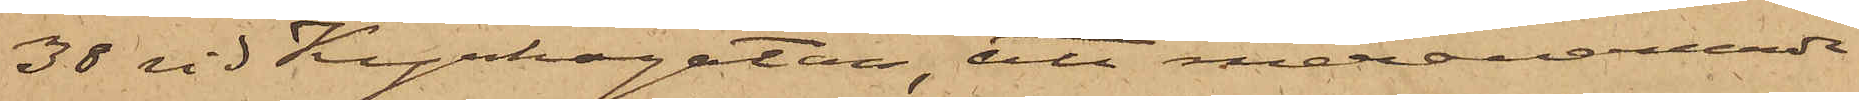38 vid Kyrkogatan, att meranämnde
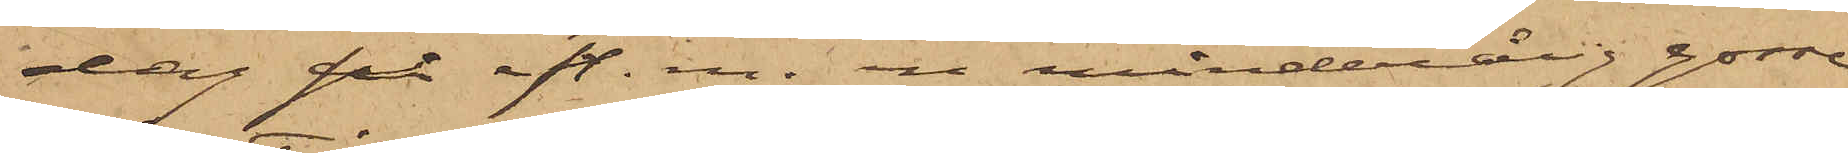dag på eft. m. en minderårig gosse
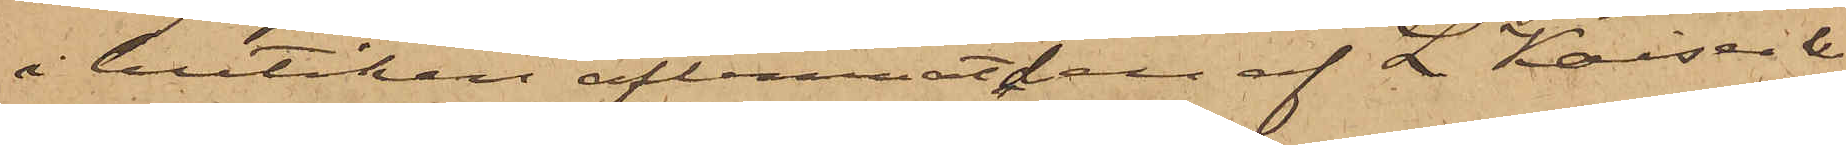i butiken aflemnat den af L Kaiser & 
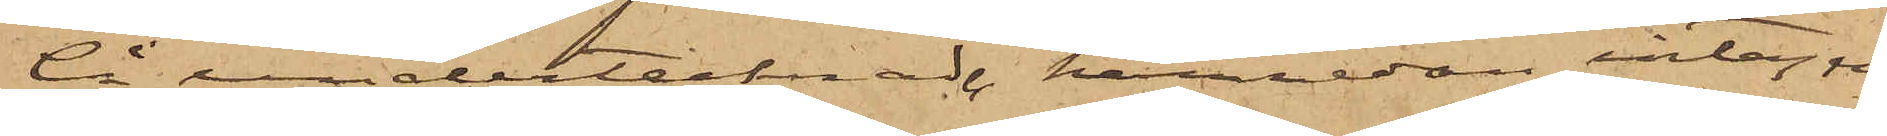Ci undertecknade härnedan intagne
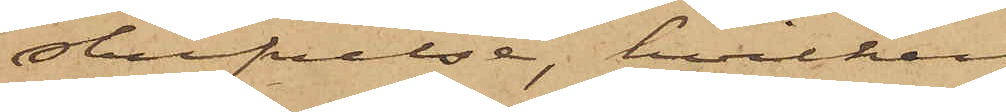skrifvelse, hvilken
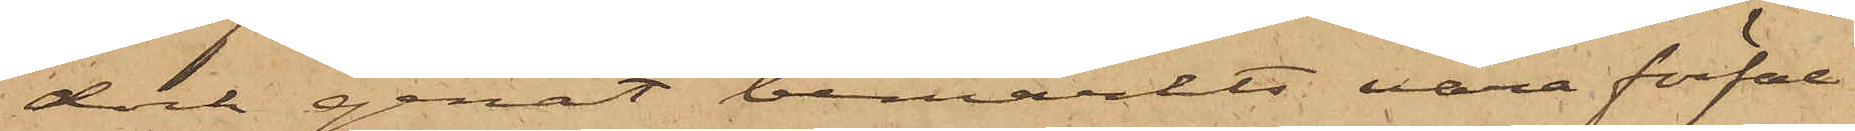dock genast bemärkts vara förfal¬
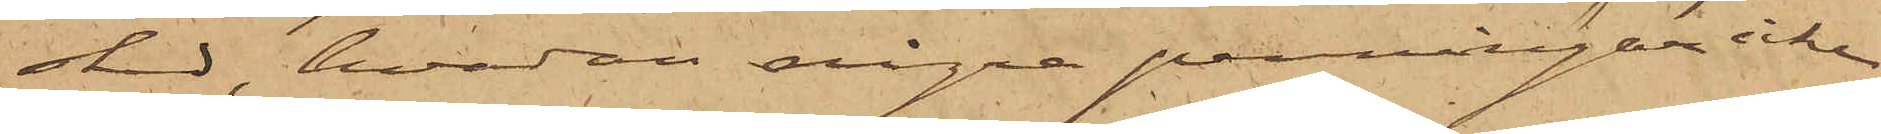skad, hvadan några penningar icke
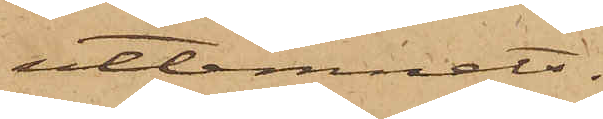utlemnats.
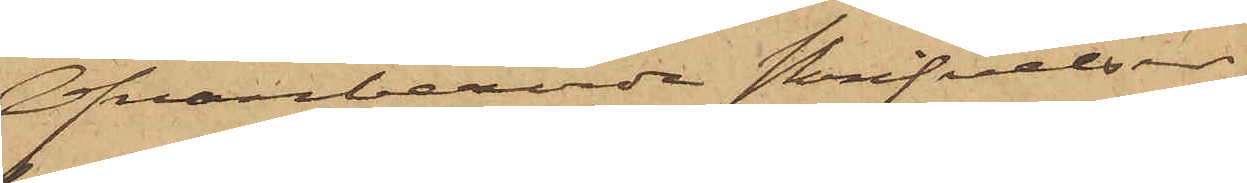Ofvanberörde skrifvelser,
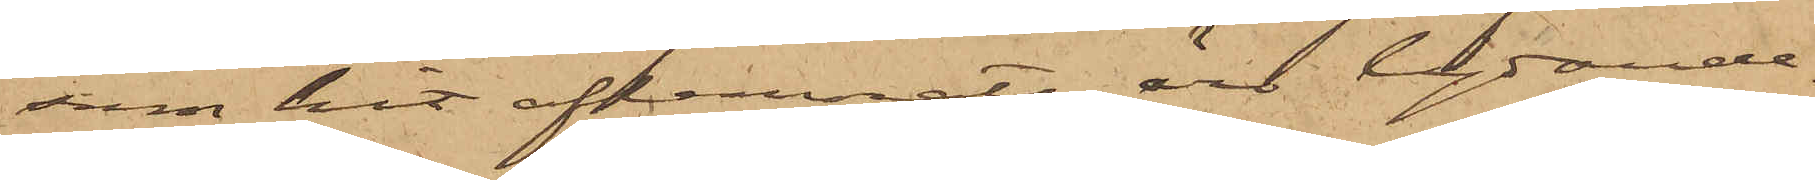som hit aflemnats äro lydande
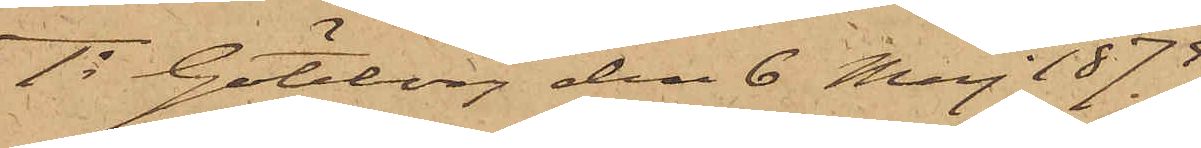1o Göteborg den 6 Maj 1875
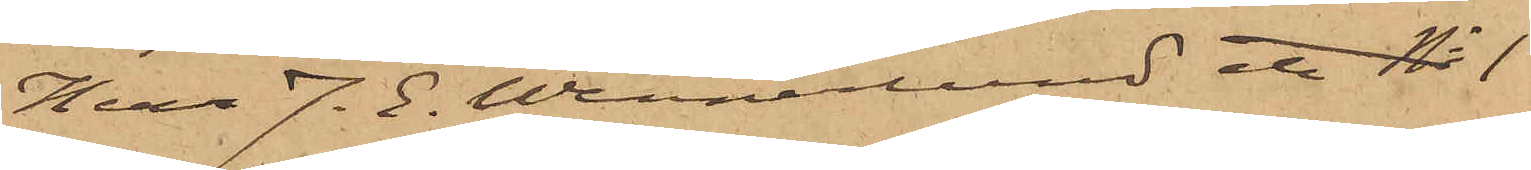Herr J. E. Wennerlund etc No 1
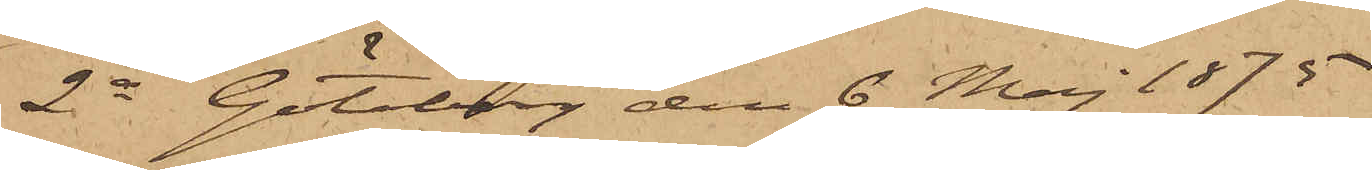2o Göteborg den 6 Maj 1875
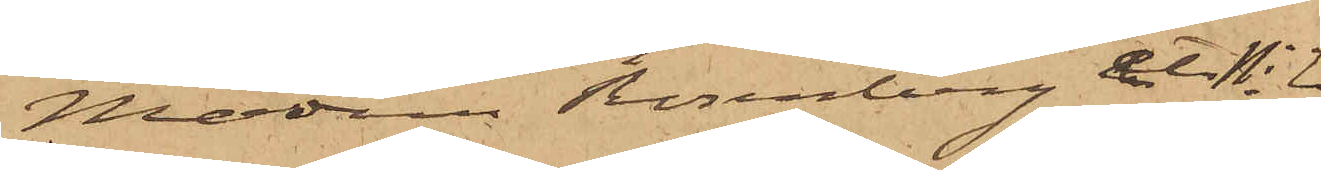Madam Rosenberg etc No 2
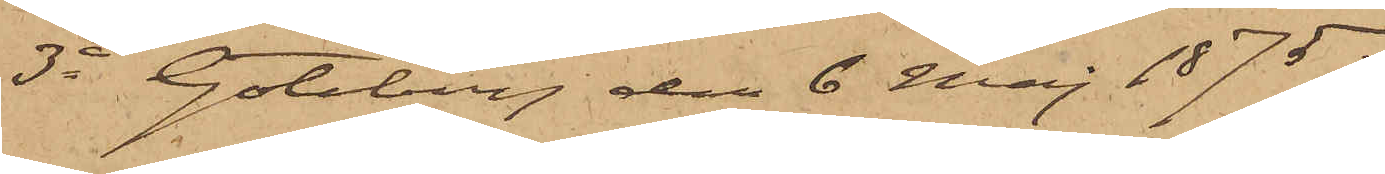3o Göteborg den 6 Maj 1875.
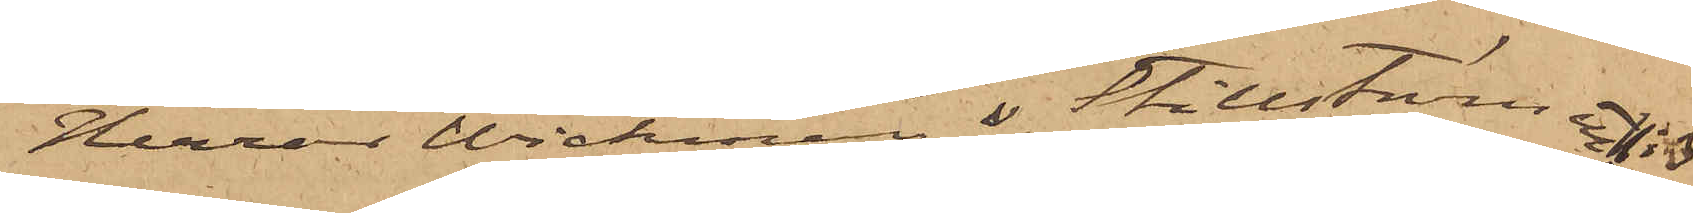Herrar Wickman & Stillström etc. No 3
